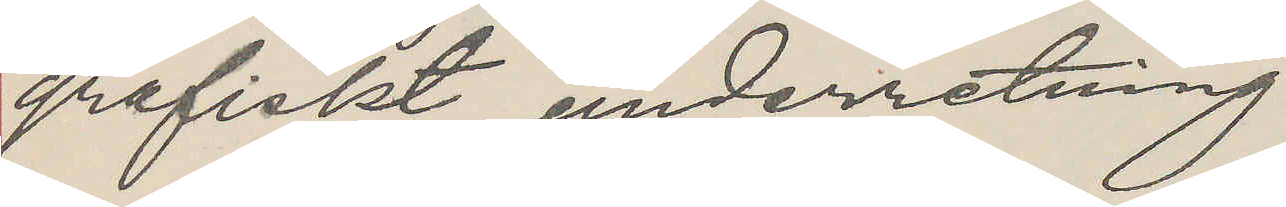grafiskt underretning
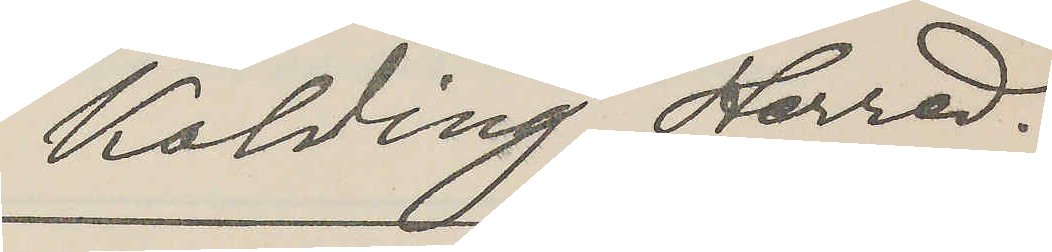Kolding Herred.
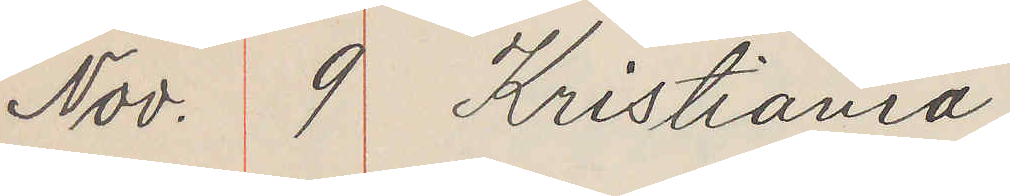Nov. 9 Kristiania
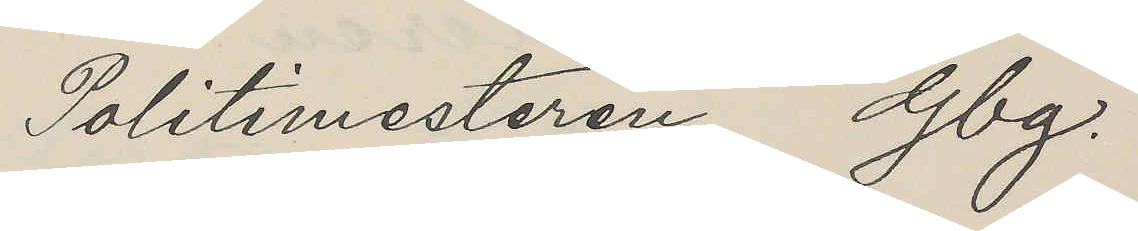Politimesteren Gbg.
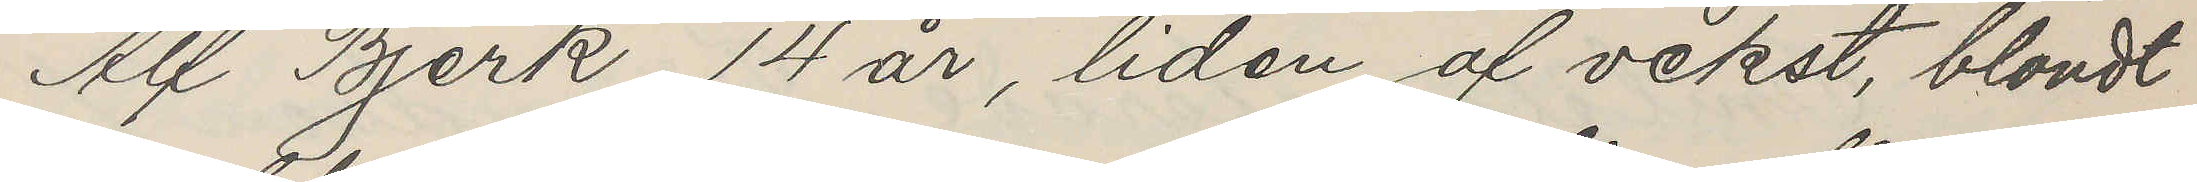Alf Bjerk, 14 år, liden af vekst, blondt
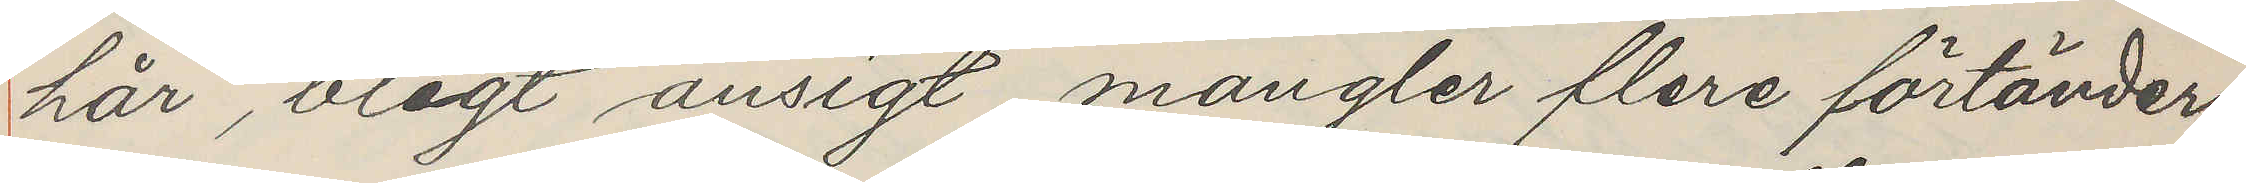hår, blegt ansigt, mangler flere förtänder
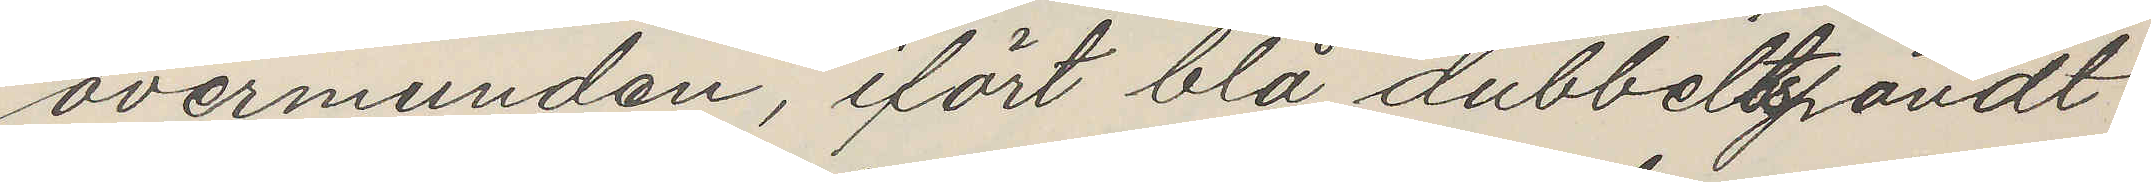overmunden, ifört blå dubbeltspändt
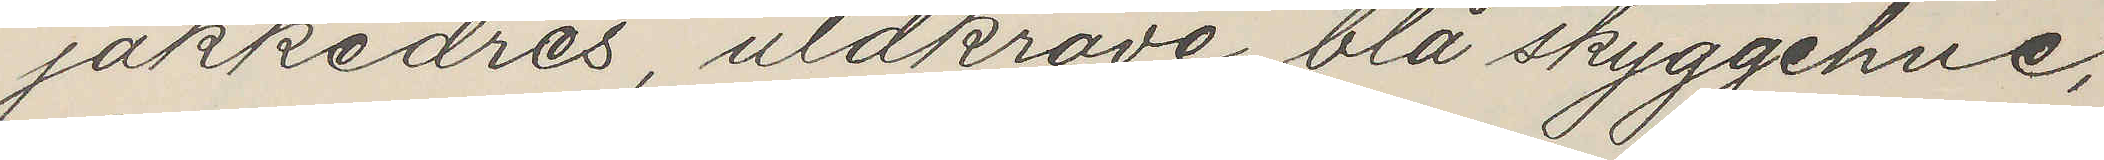jakkedres, uldkrave, blå skyggehue,
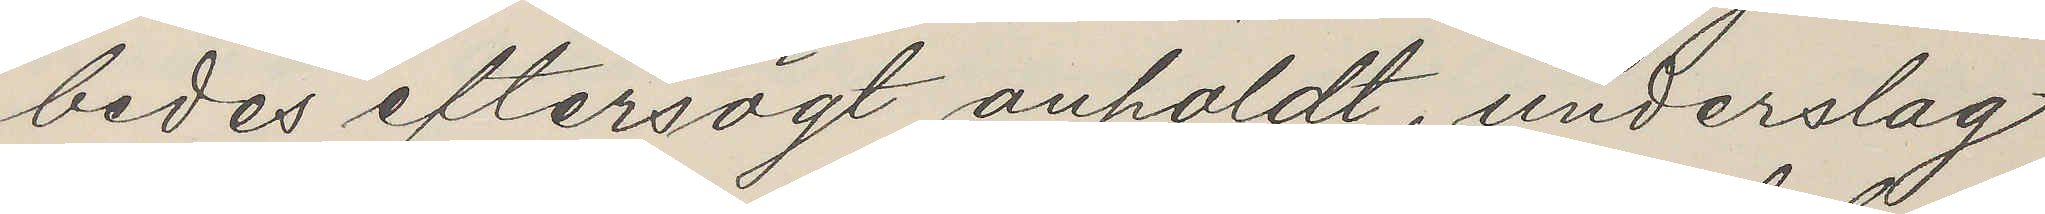bedes eftersögt anholdt, underslag
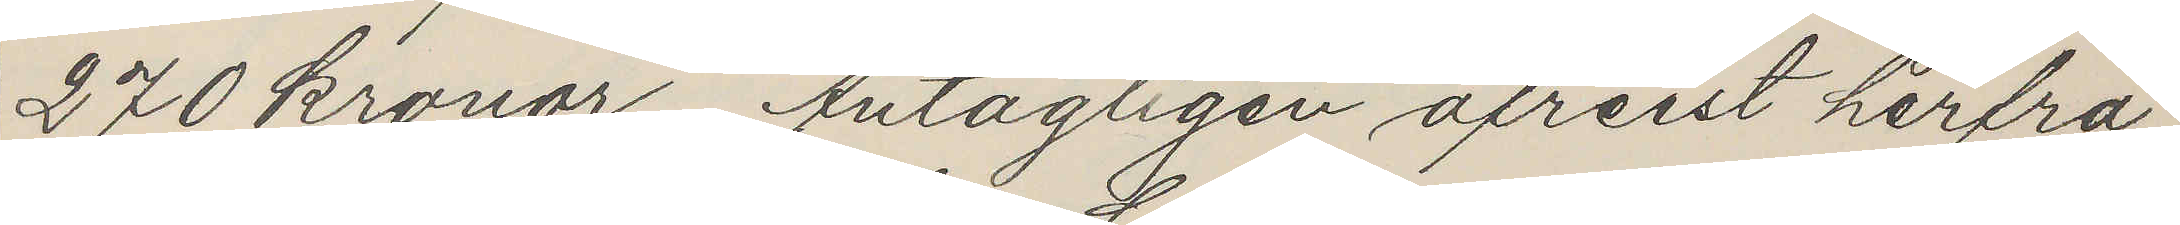270 kronor. Antagligen afreist herfra
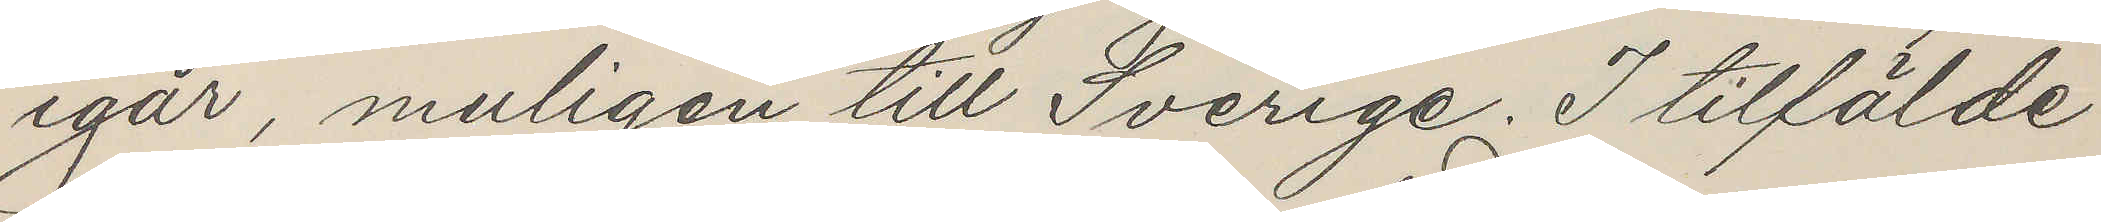igår, muligen till Sverige. I tilfälde
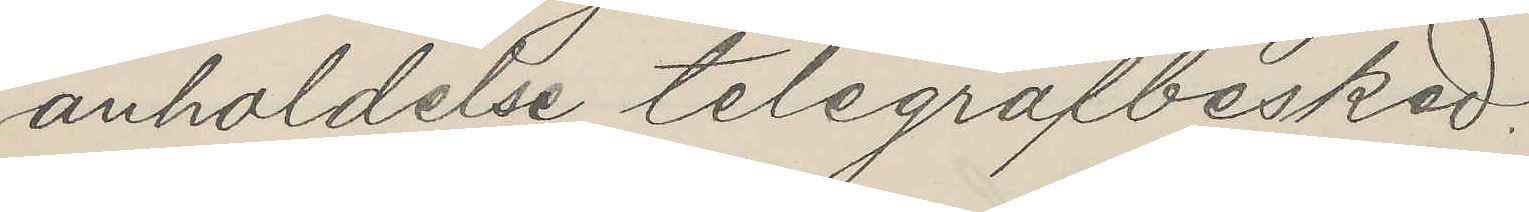anholdelse telegrafbesked.
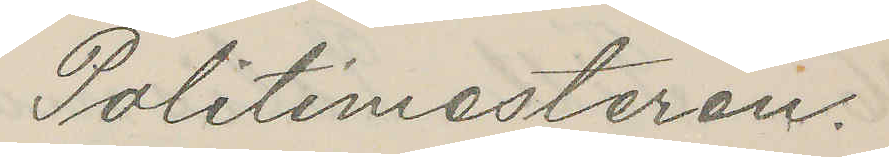Politimesteren.
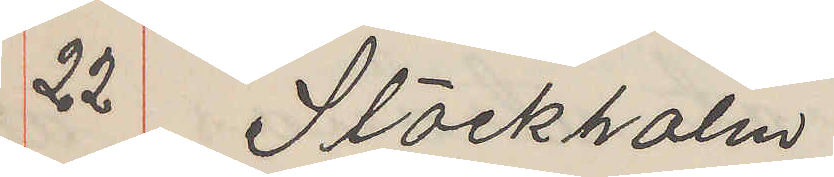22 Stockholm
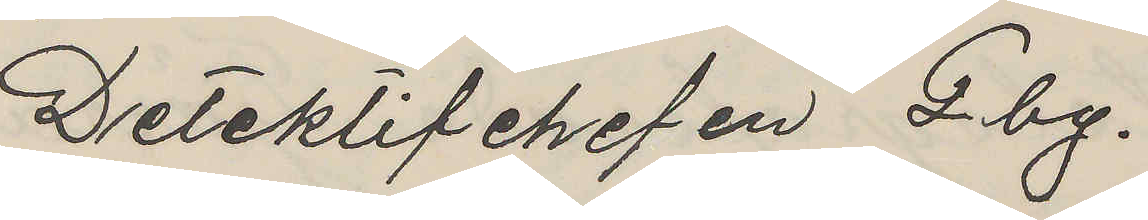Detektivchefen Gbg.
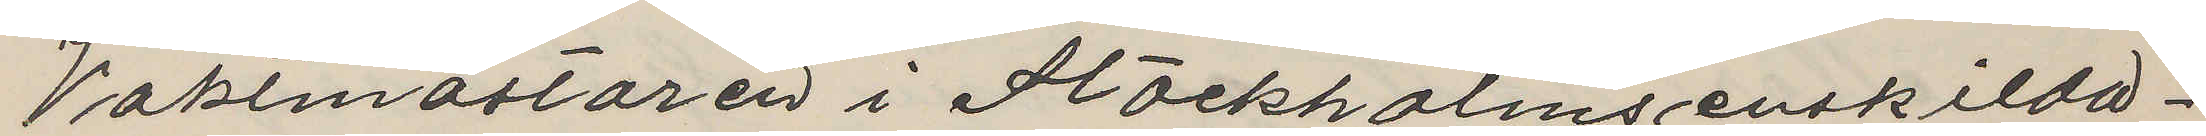Vaktmästaren i Stockholms enskilda¬
